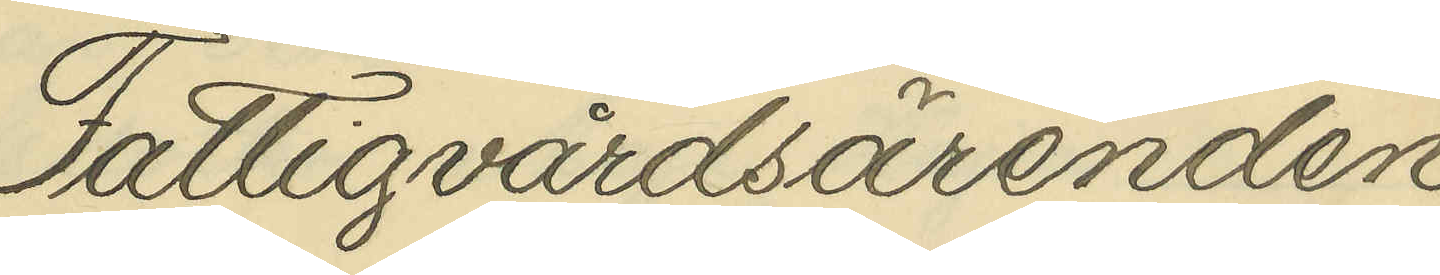Fattigvårdsärenden
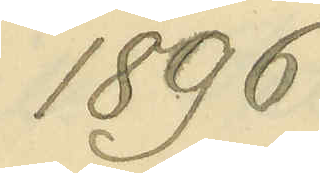1896
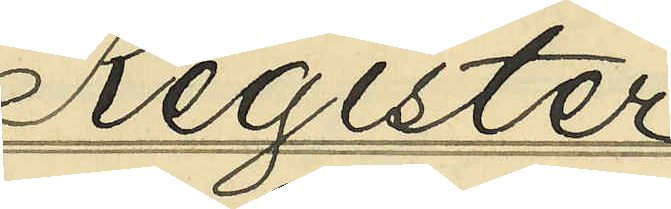Register
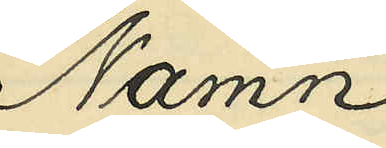Namn
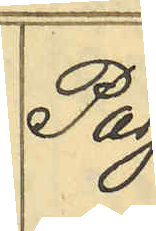Pag.
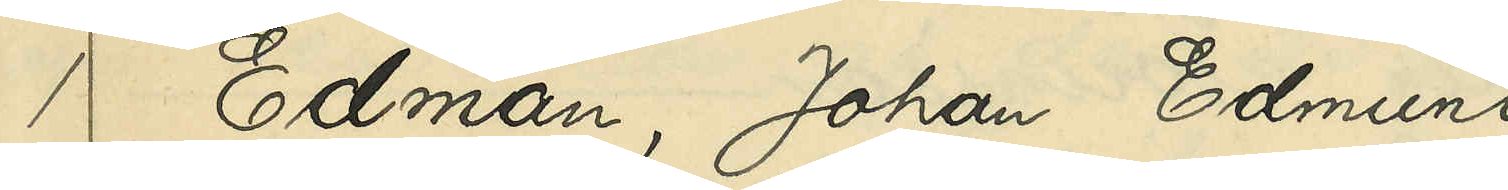1 Edman, Johan Edmund
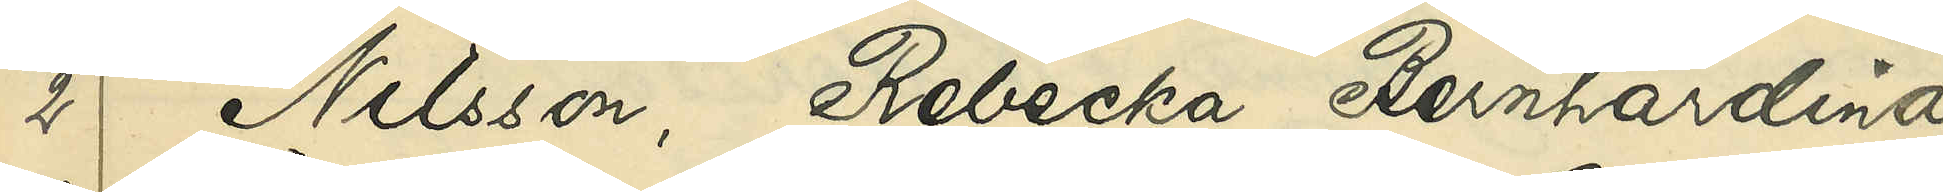2 Nilsson, Rebecka Bernherdina
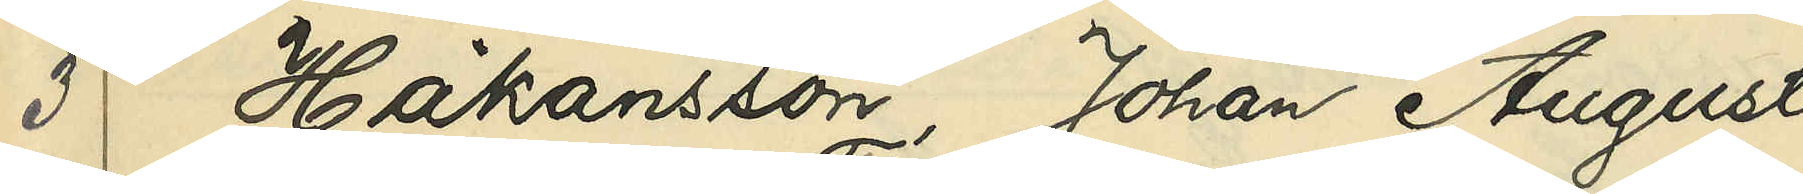3 Håkansson, Johan August
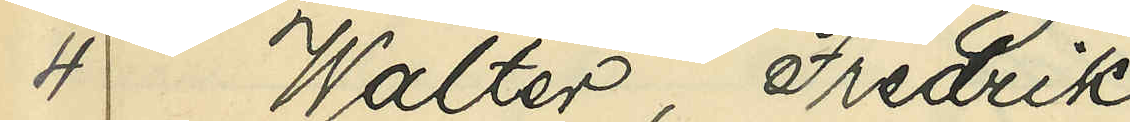4 Walter, Fredrik
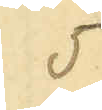5
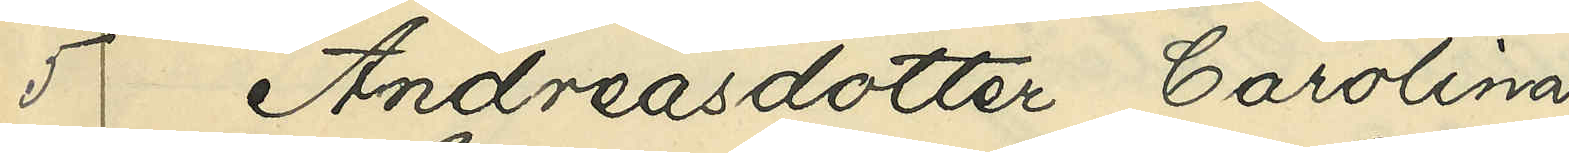5 Andreasdotter, Carolina
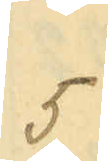5
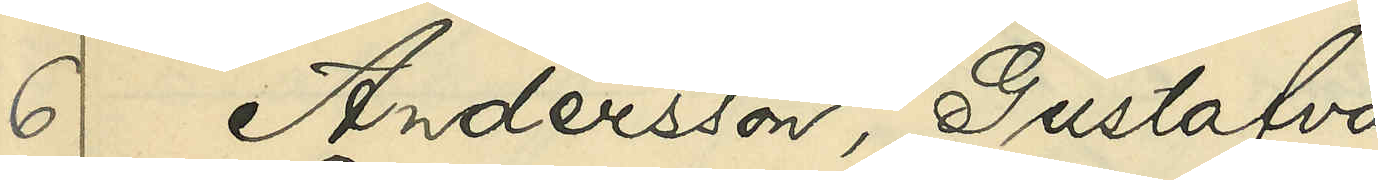6 Andersson, Gustafva
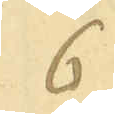6
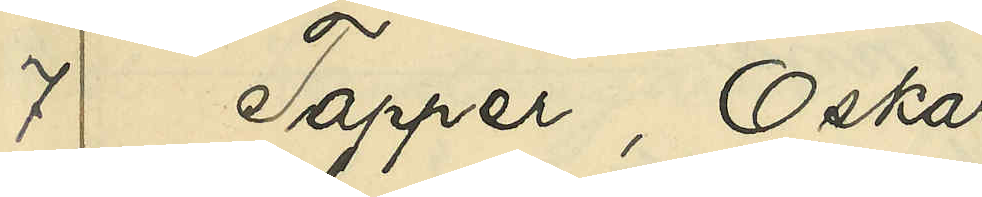7 Tapper, Oskar
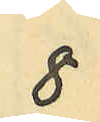8
